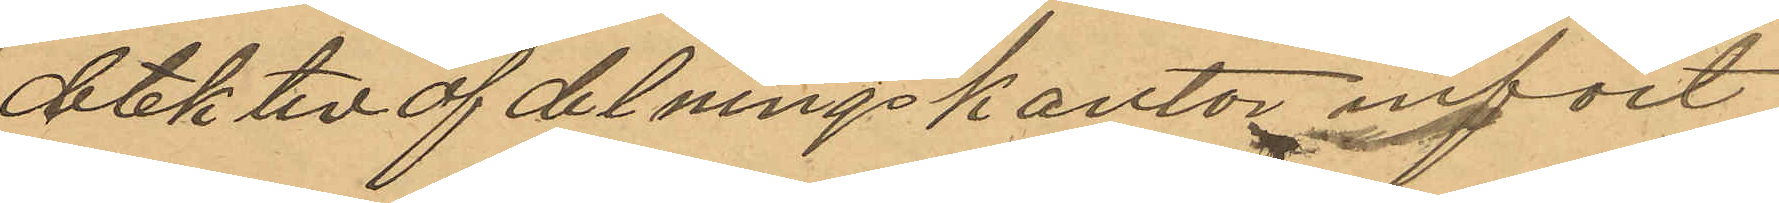detektivafdelningskontor infört
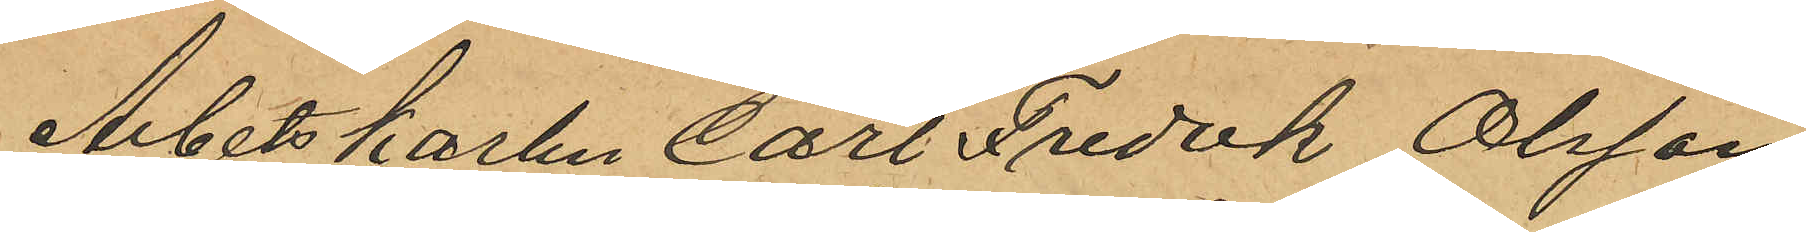Arbetskarlen Carl Fredik Olsson
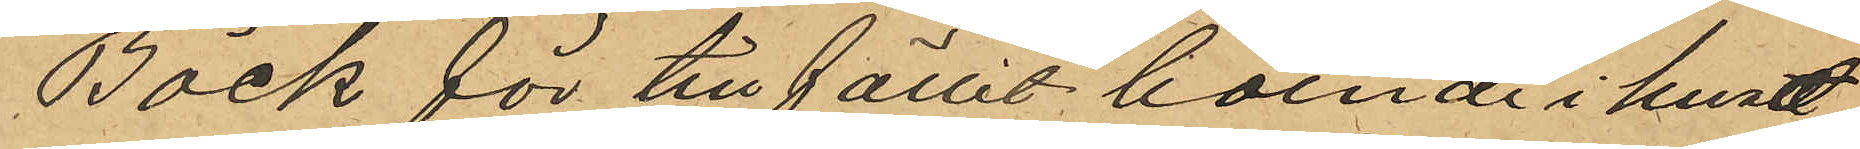Bäck för tillfället boende i huset
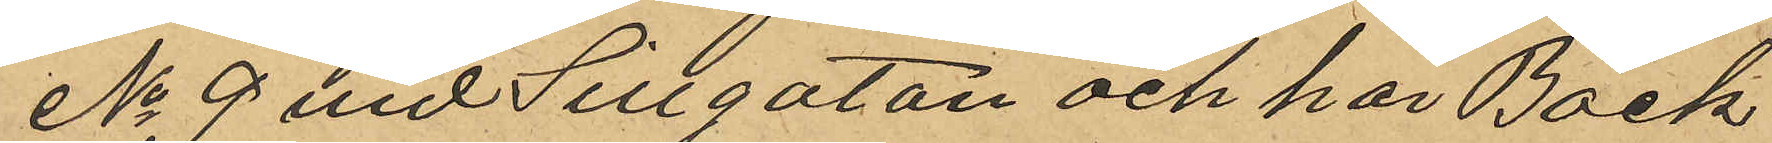No 9 vid Sillgatan och har Bäck
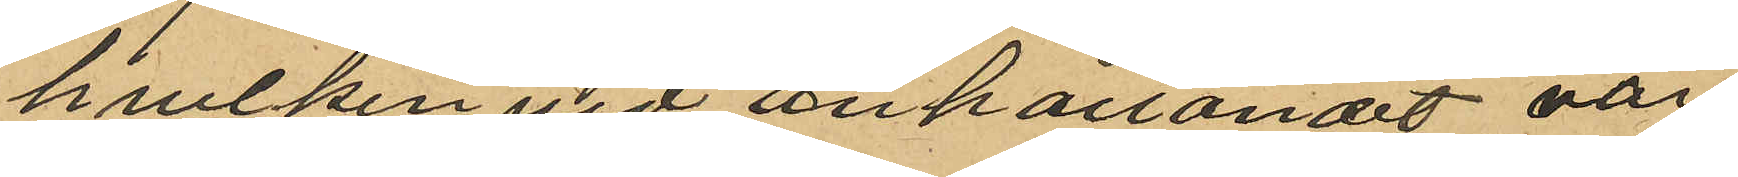hvilken vid anhållandet var
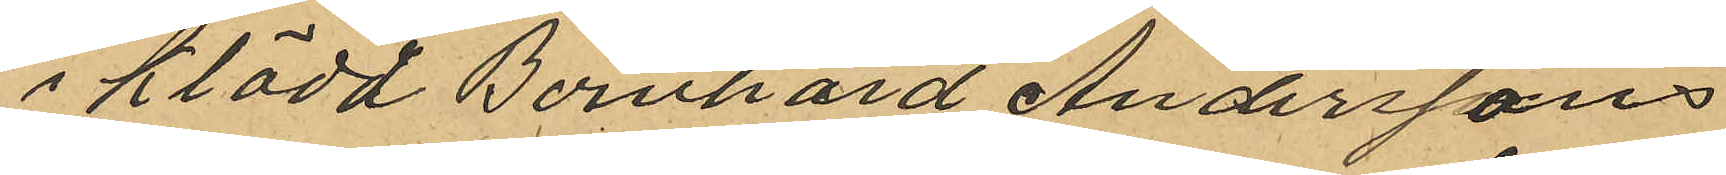iklädd Bernhard Anderssons
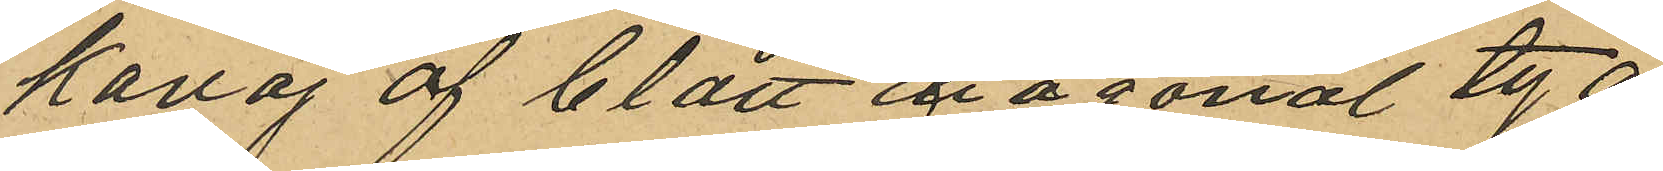kavaj af blått diagonaltyg
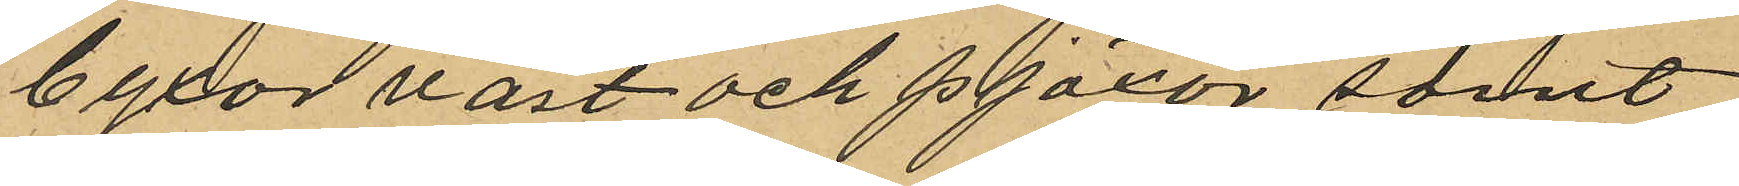byxor väst och pjäxor samt
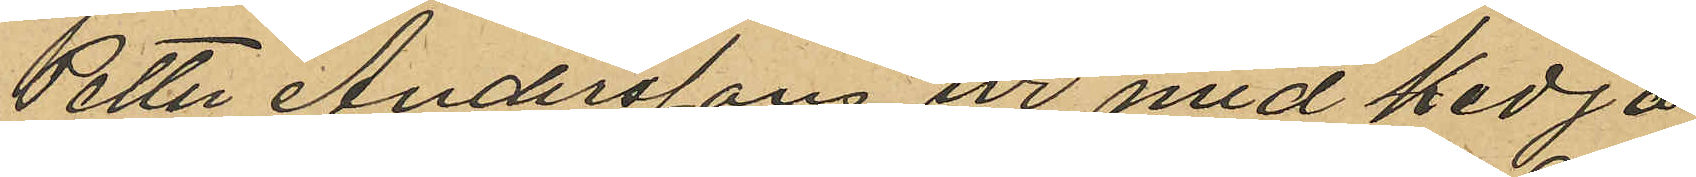Petter Anderssons ur med kedja
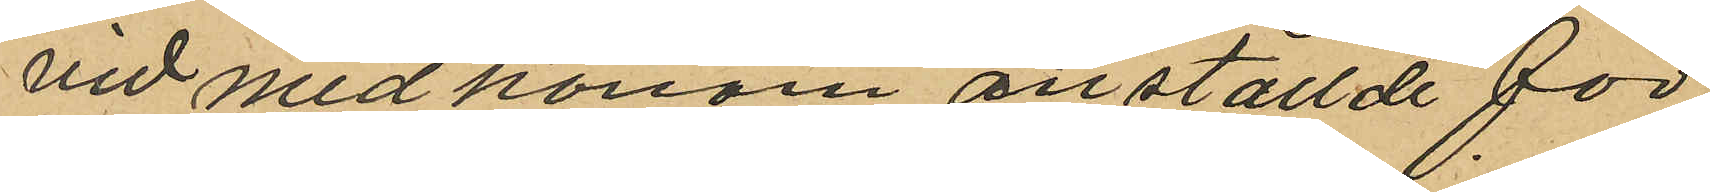vid med honom anställde för¬
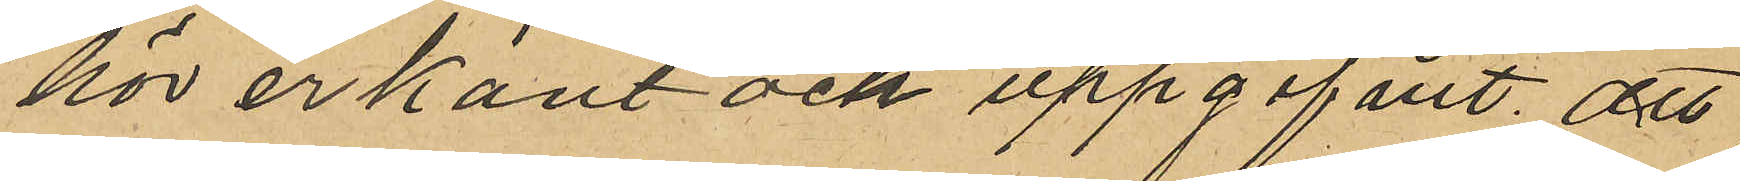hör erkänt och uppgifvit, att
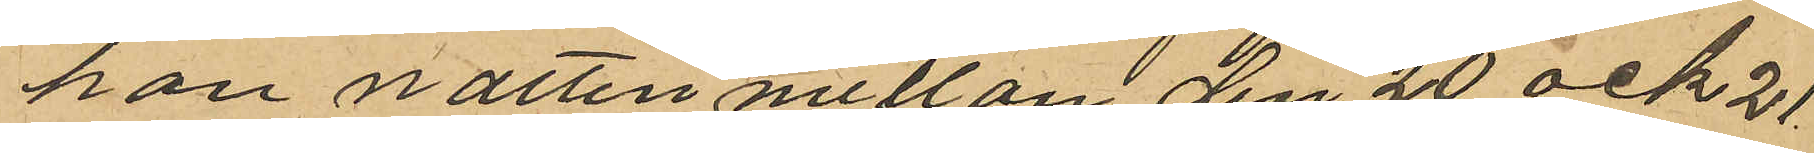han natten mellan den 20 och 21
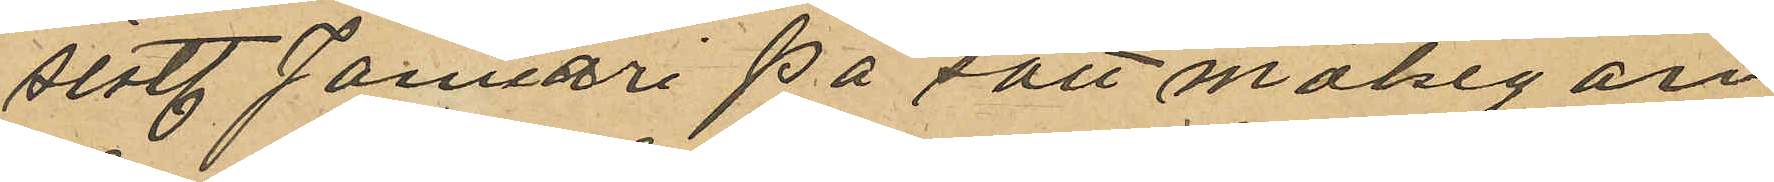sist. Januari på sätt målsegan¬
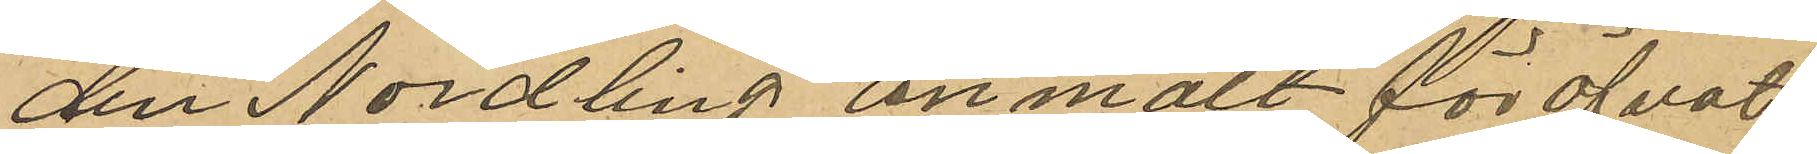den Nordling anmält föröfvat
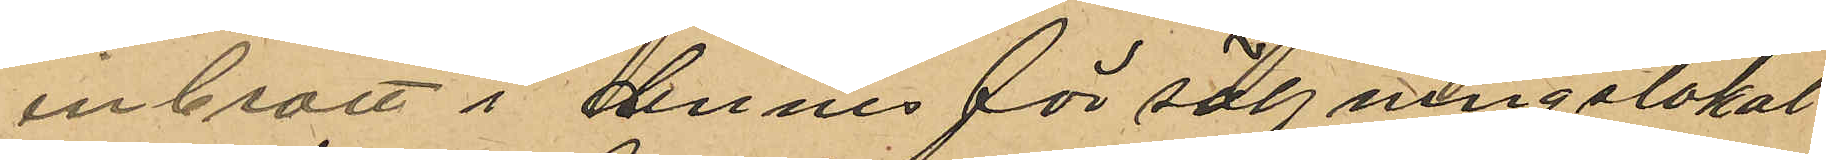inbrott i dennes försäljningalokal
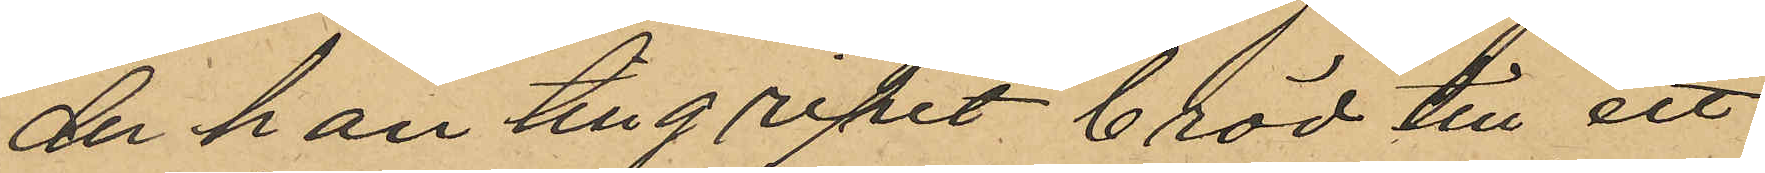der han tillgripit bröd till ett
